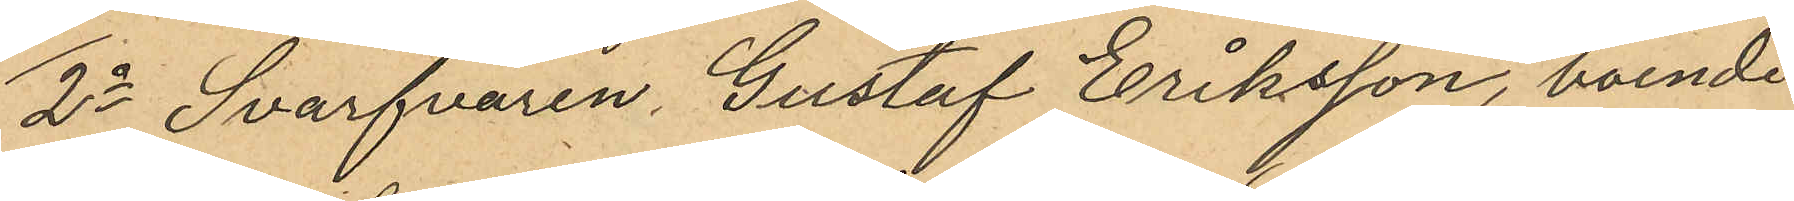2o Svarfvaren Gustaf Eriksson, boende
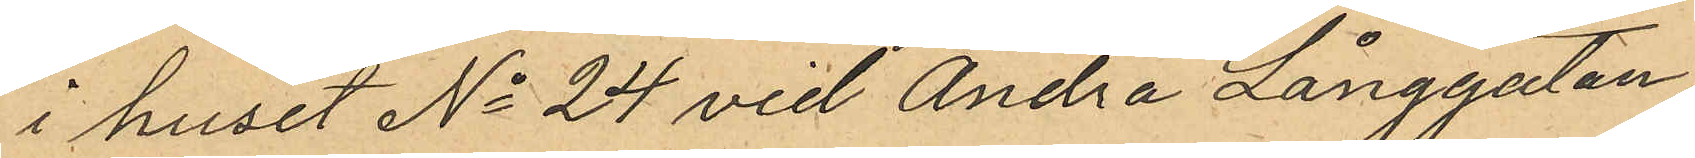i huset No 24 vid Andra Långgatan,
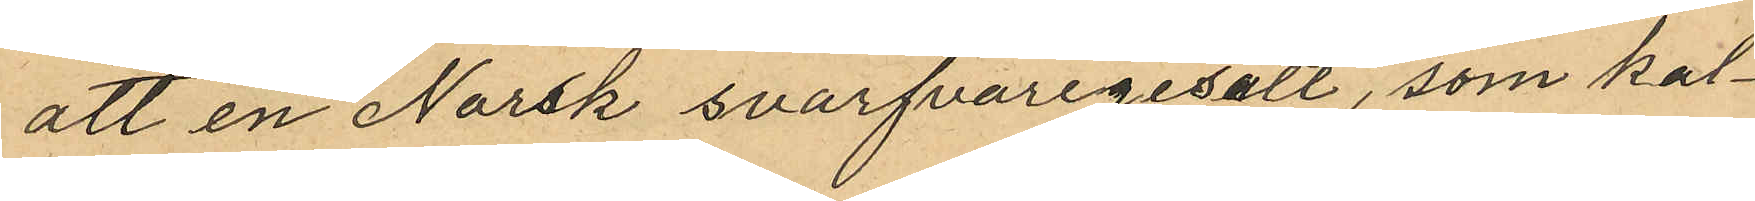att en Norsk svarfvaregesäll, som kal¬
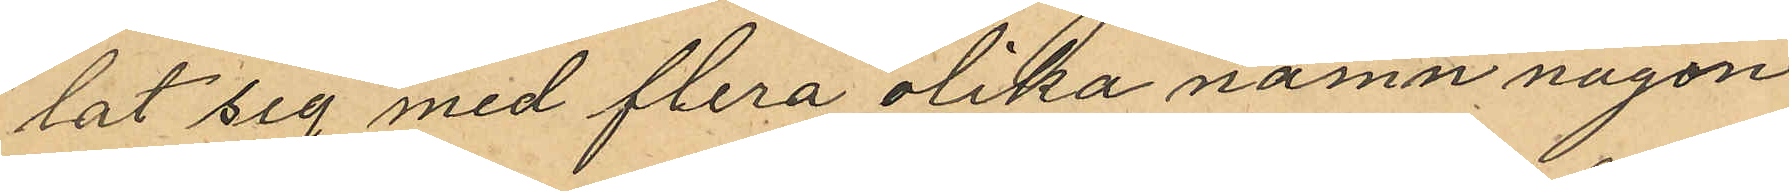lat sig med flera olika namn någon
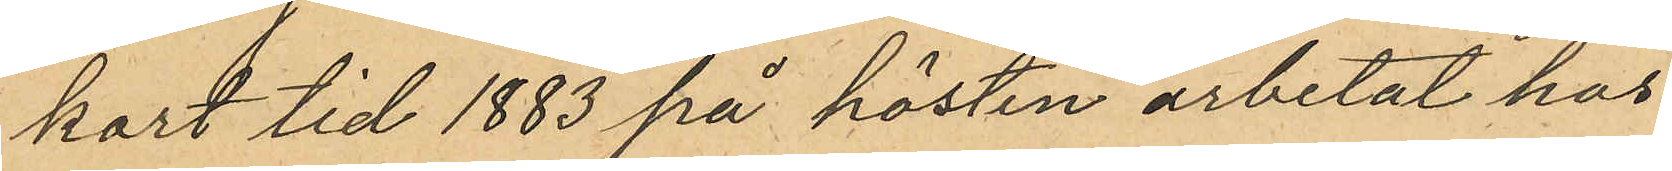kort tid 1883 på hösten arbetat hos
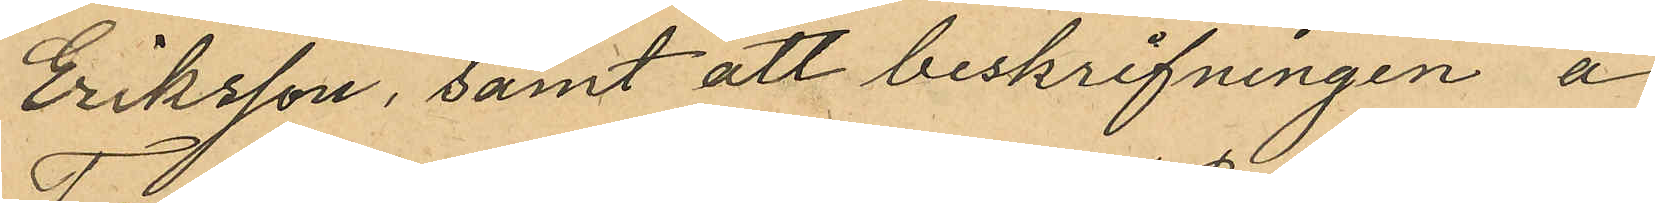Eriksson, samt att beskrifningen å
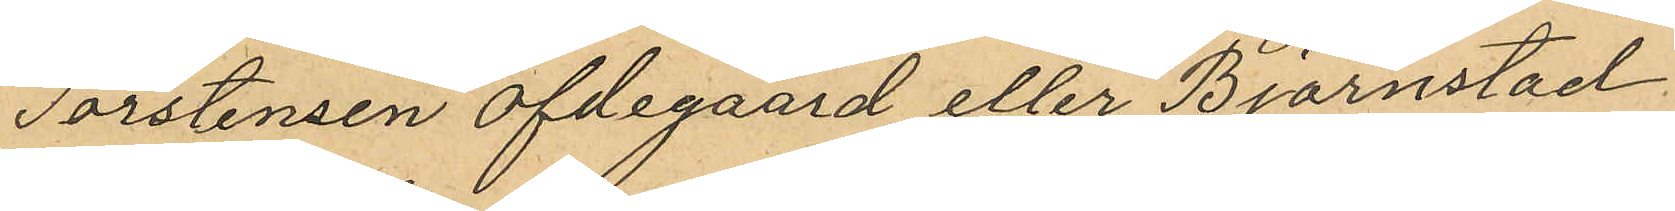Torstensen ofdegaard eller Björnstad
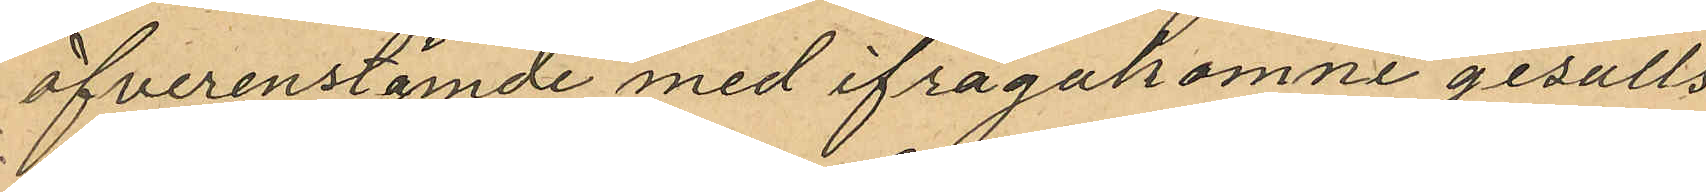öfverenstämde med ifrågakomne gesälls
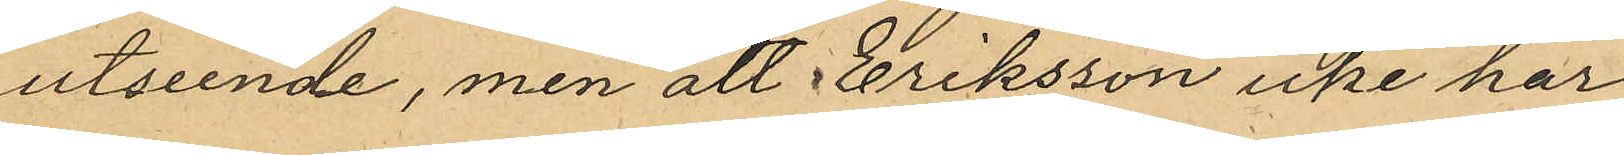utseende, men att Eriksson icke har
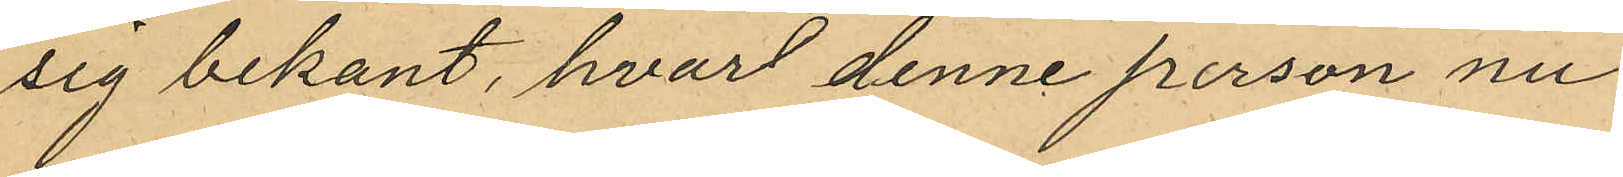sig bekant, hvart denne person nu
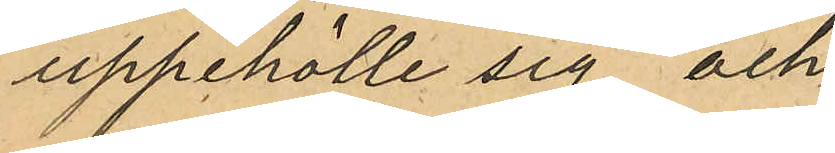uppehölle sig och
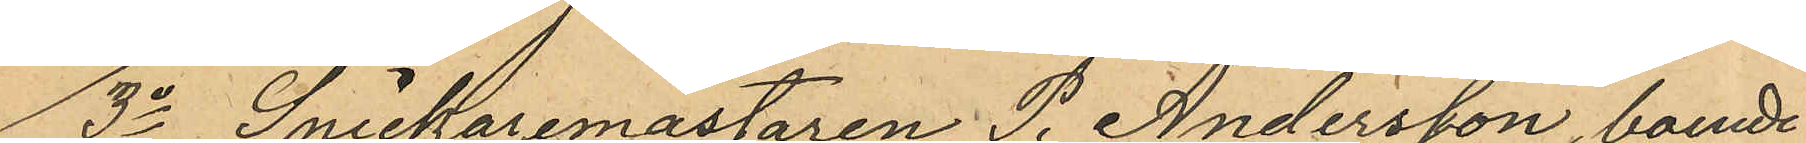3o Snickaremästaren P. Andersson, boende
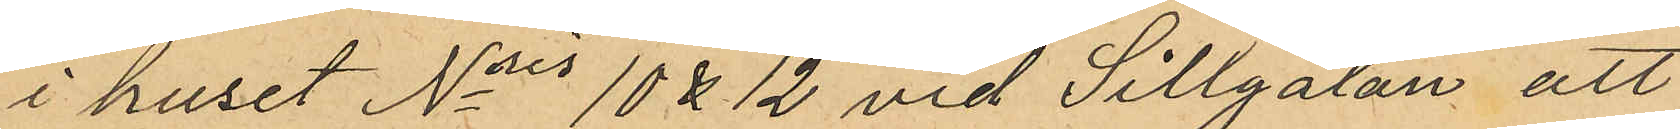i huset Nris 10 & 12 vid Sillgatan att
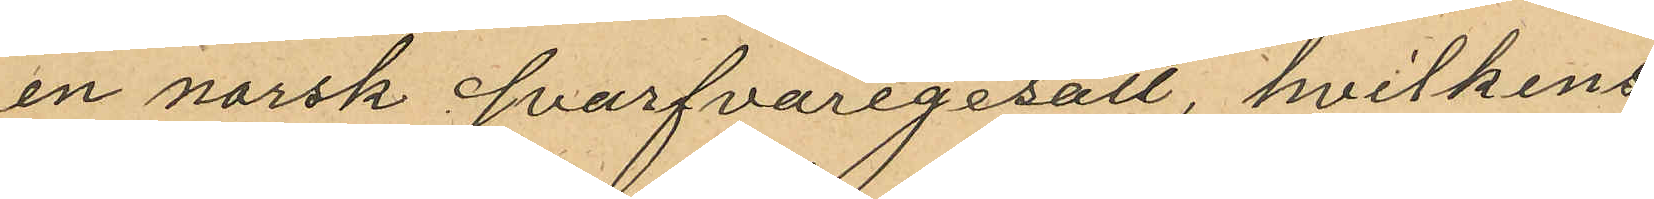en norsk Svarfvaregesäll, hvilkens
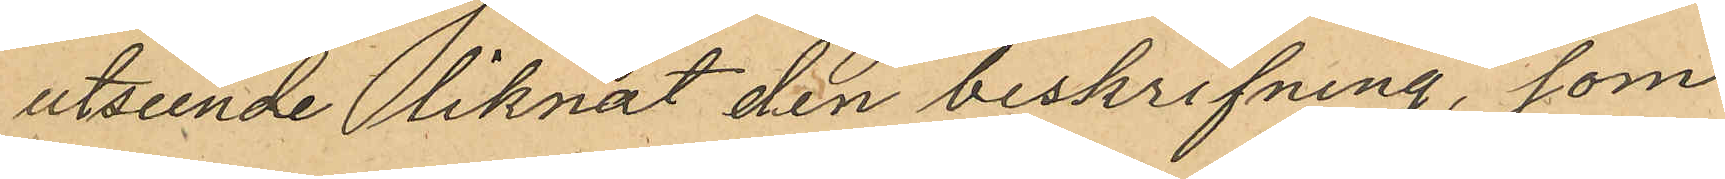utseende liknat den beskrifning, som
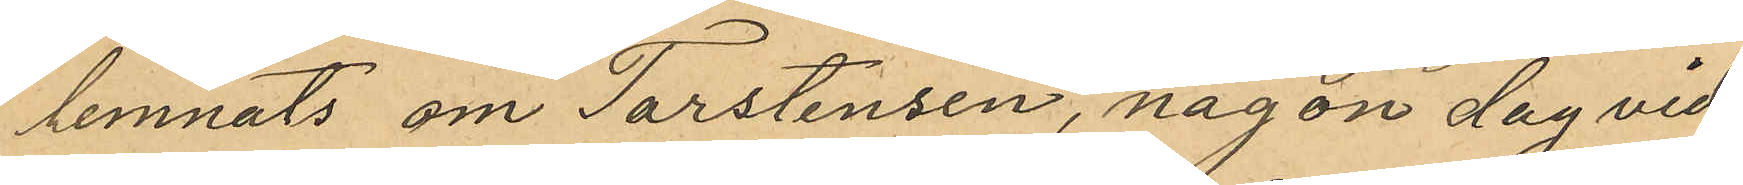lemnats om Torstensen, någon dag vid
